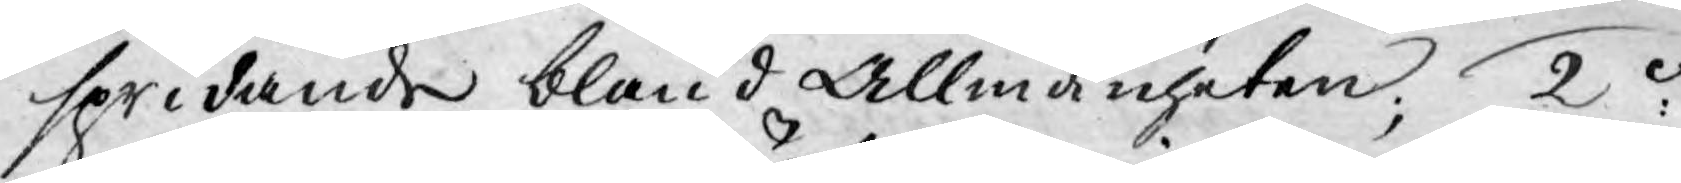spridande bland Allmänheten; 2o
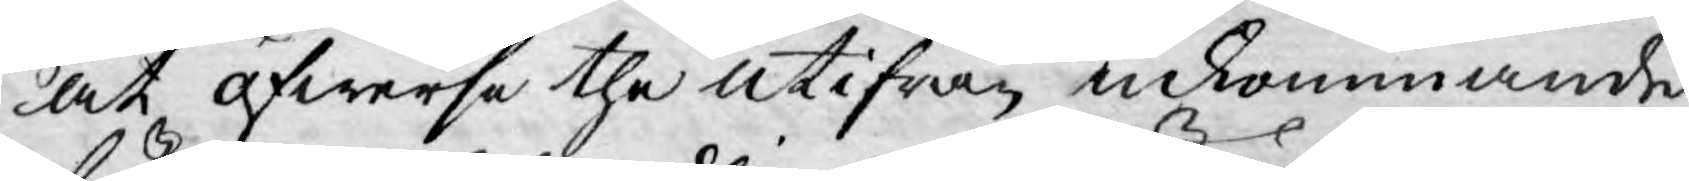at öfwerse the utifrån inkommande
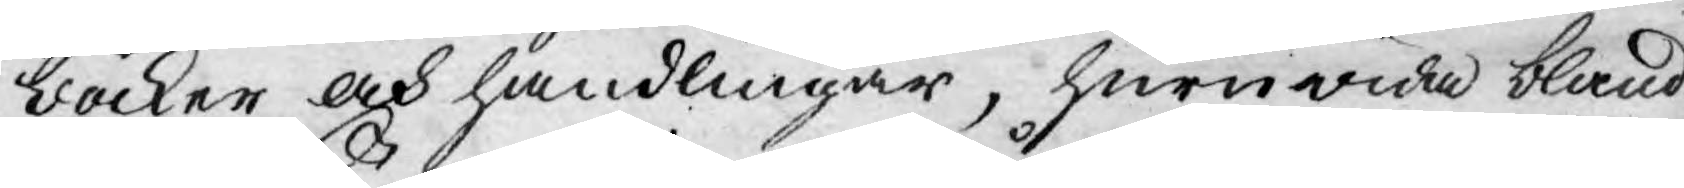böcker och handlingar, huruwida bland
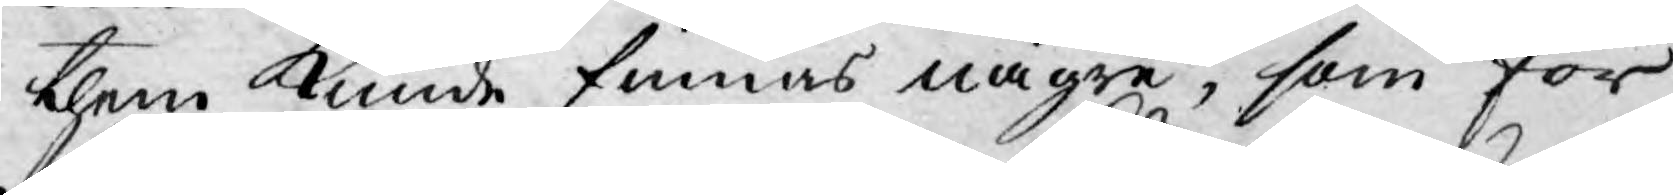them kunde finnas någre, som för
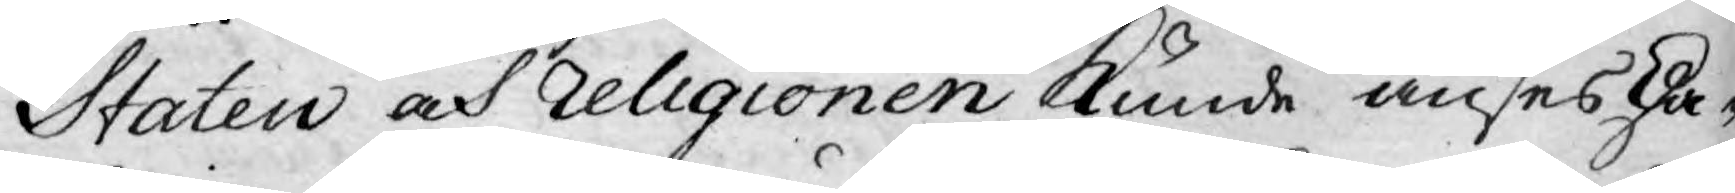Staten och religionen kunde anses ska¬
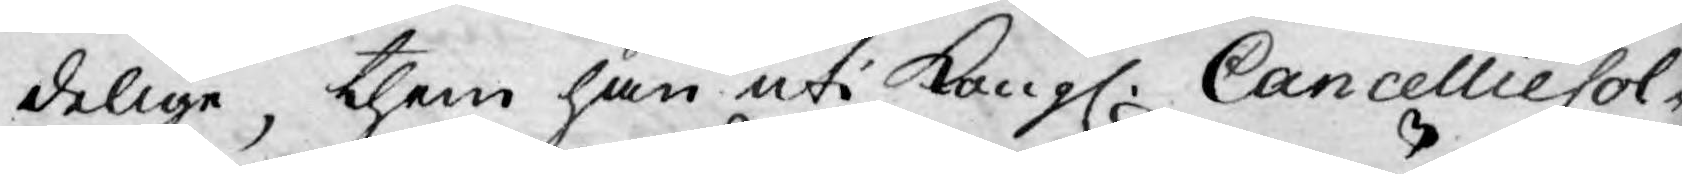delige, them han uti Kongl. CancellieCol¬
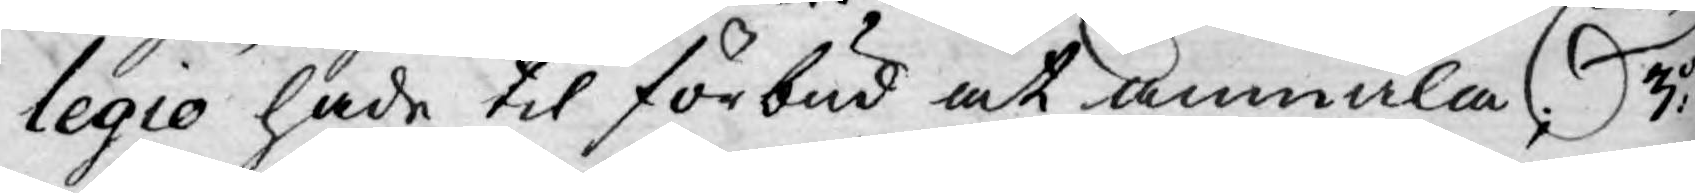legio hade til förbud at anmäla; 3:o
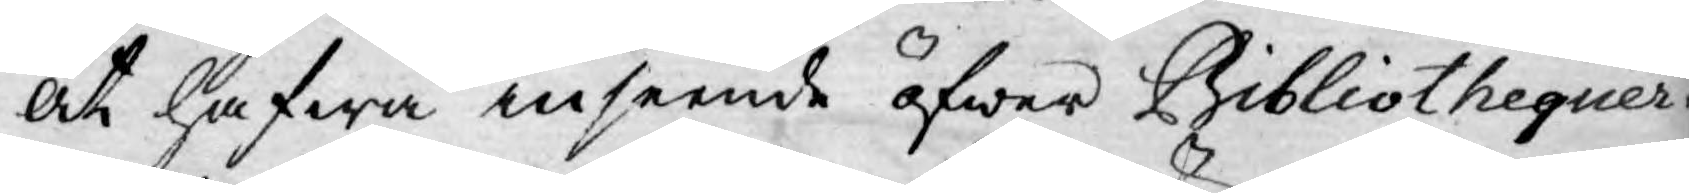at hafwa inseende öfwer Bibliothequer¬
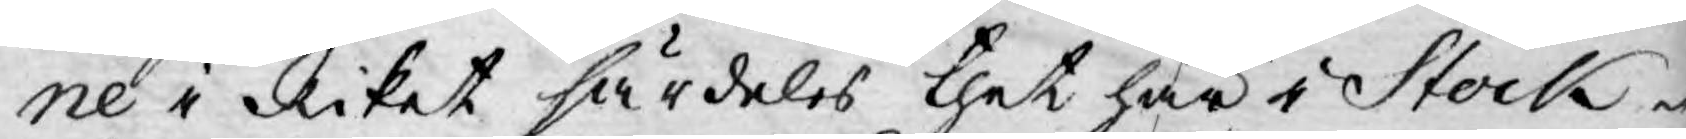ne i Riket särdeles thet här i Stock¬
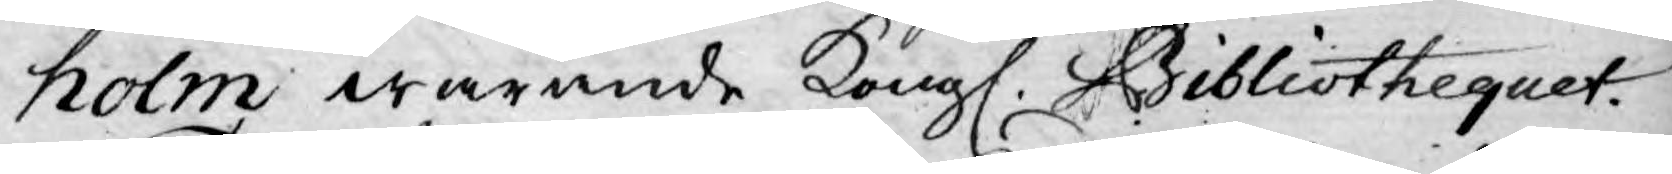holm warande Kongl. Bibliothequet.
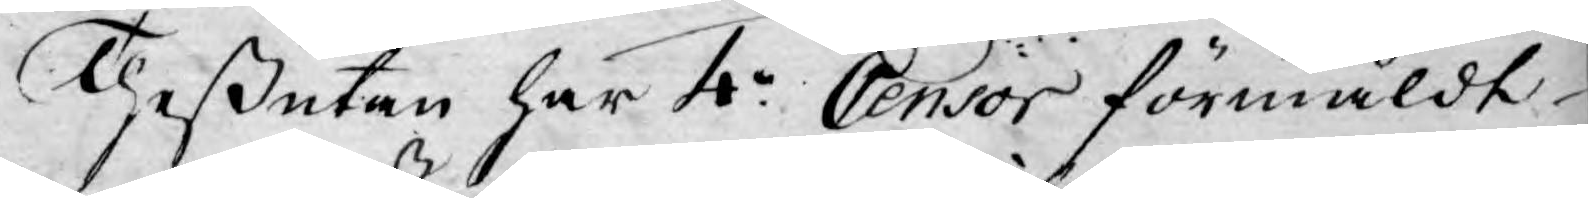Theßutan har 4:o Censor förmäldt
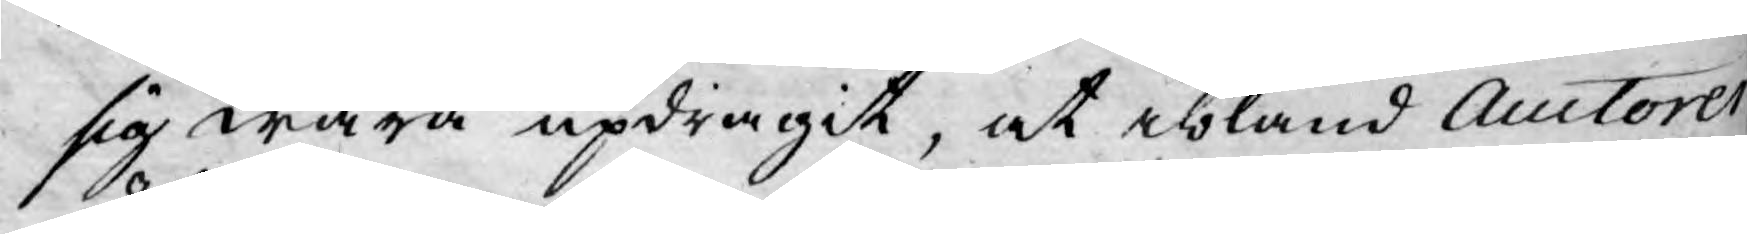sig wara updragit, at ibland Auctorer
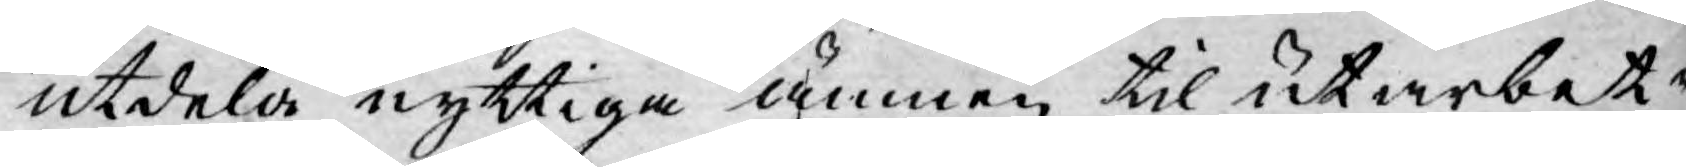utdela nyttiga ämnen til utarbet¬
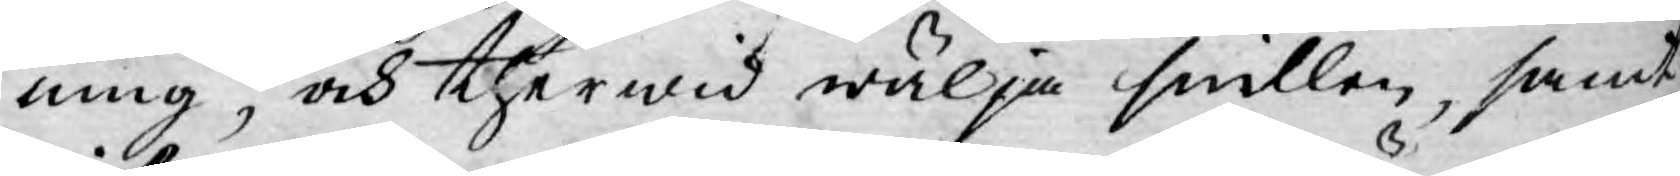ning, och therwid wälja snillen, samt
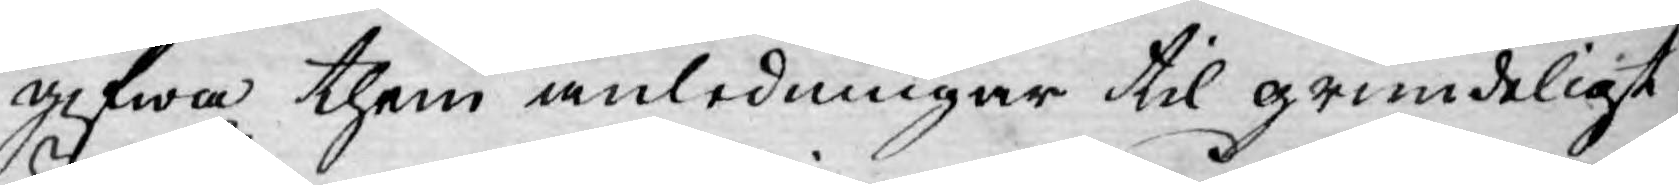gifwa them anledningar til grundeligt
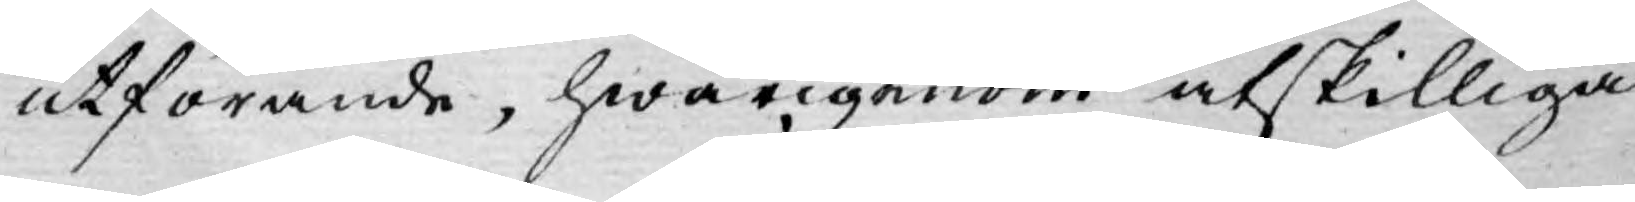utförande, hwarigenom åtskilliga
